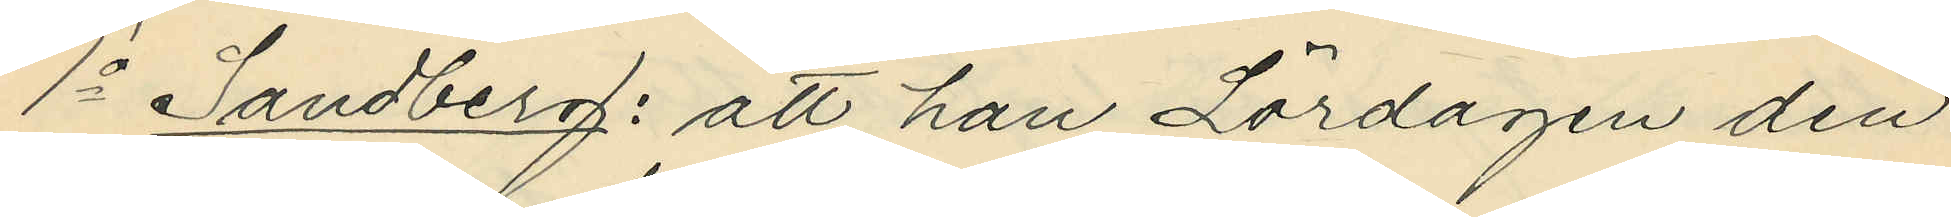1o Sandberg: att han Lördagen den
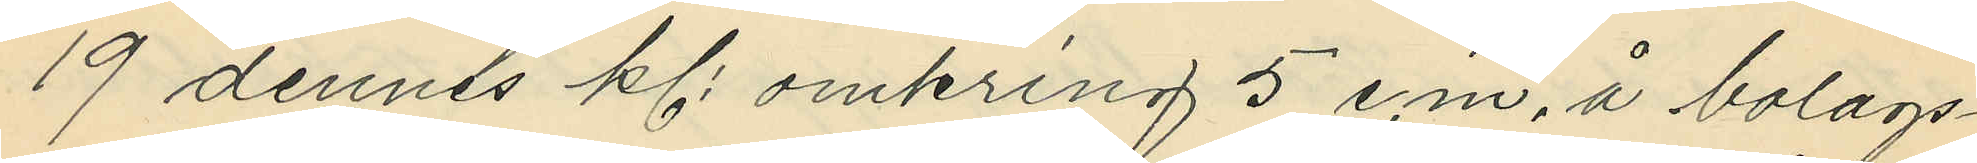19 dennes kl. omkring 5 e.m. å bolags¬
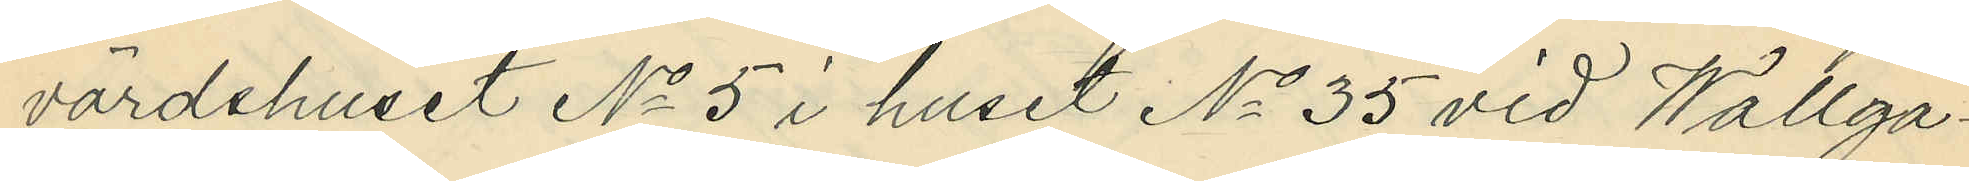värdshuset No 5 i huset No 35 vid Wallga¬
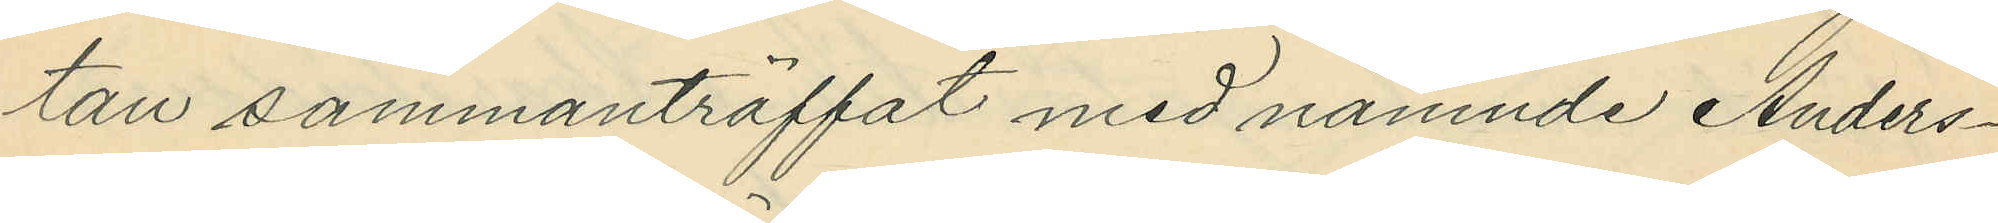tan sammanträffat med nämnde Anders¬
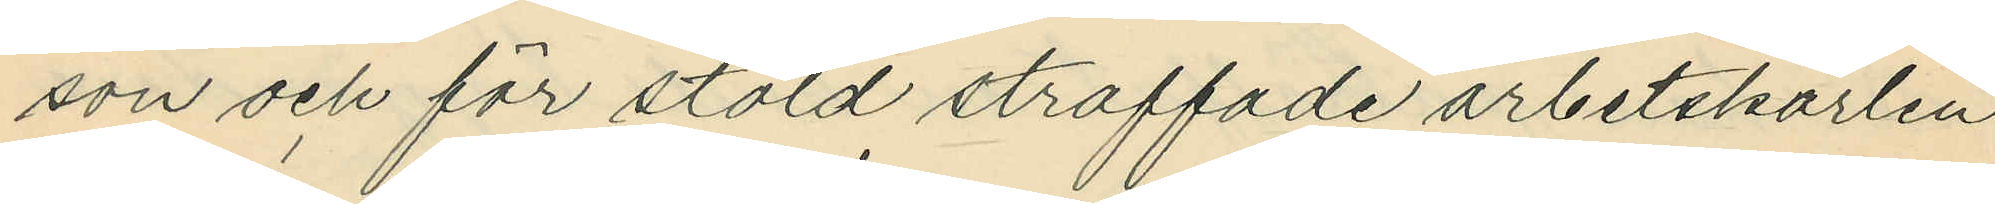son och för stöld straffade arbetskarlen
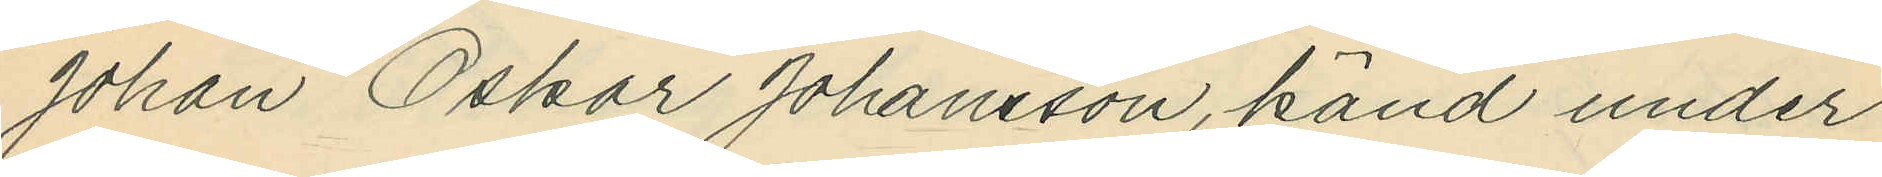Johan Oskar Johansson, känd under
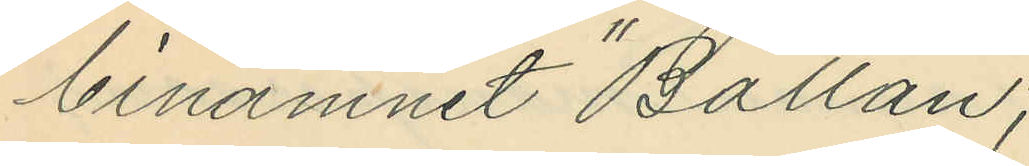binamnet "Ballan";
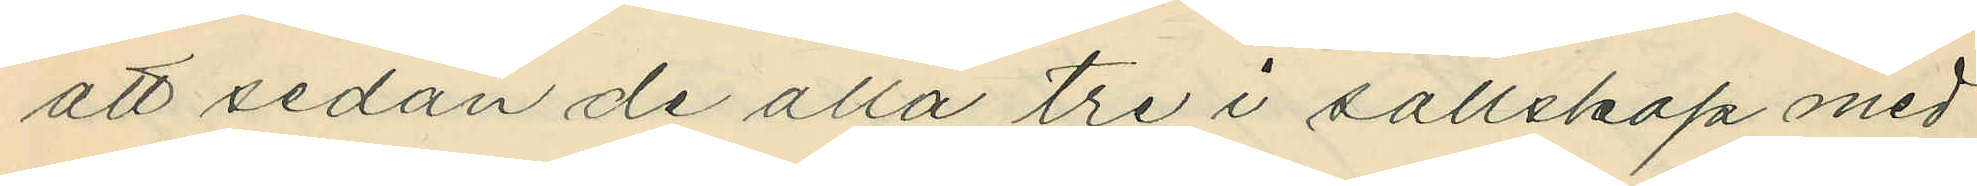att sedan de alla tre i sällskap med
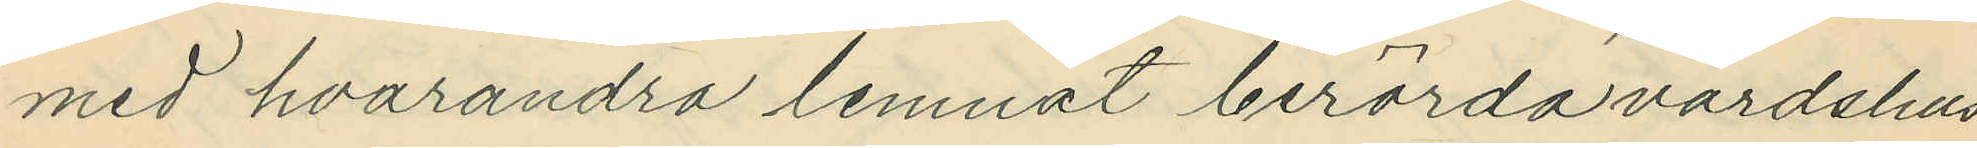med hvarandra lemnat berörda värdshus
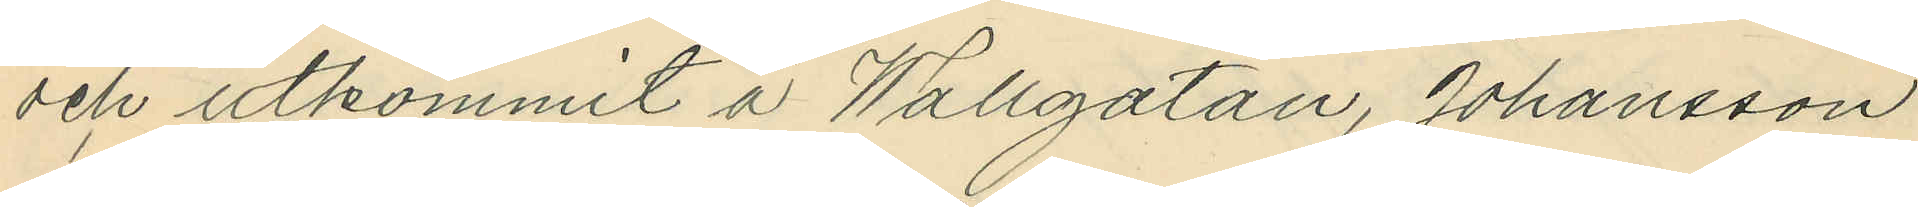och utkommit å Wallgatan, Johansson
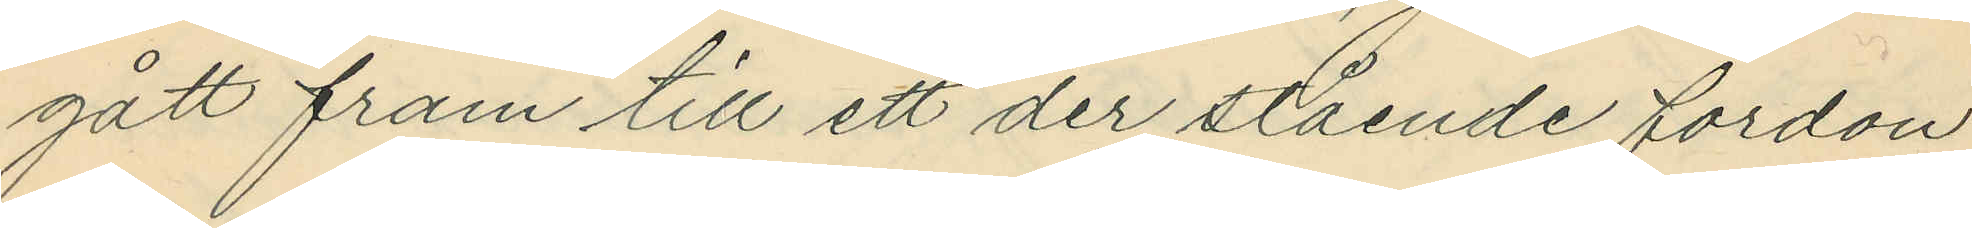gått fram till ett der stående fordon
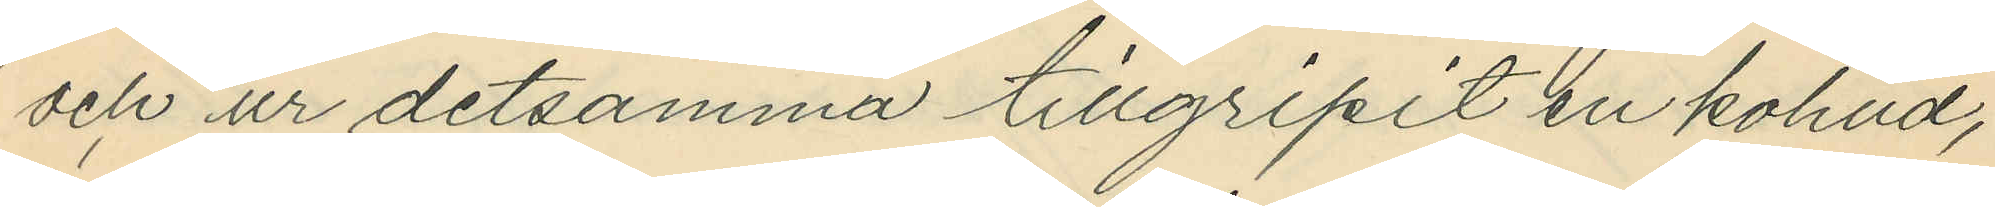och ur detsamma tillgripit en kohud,
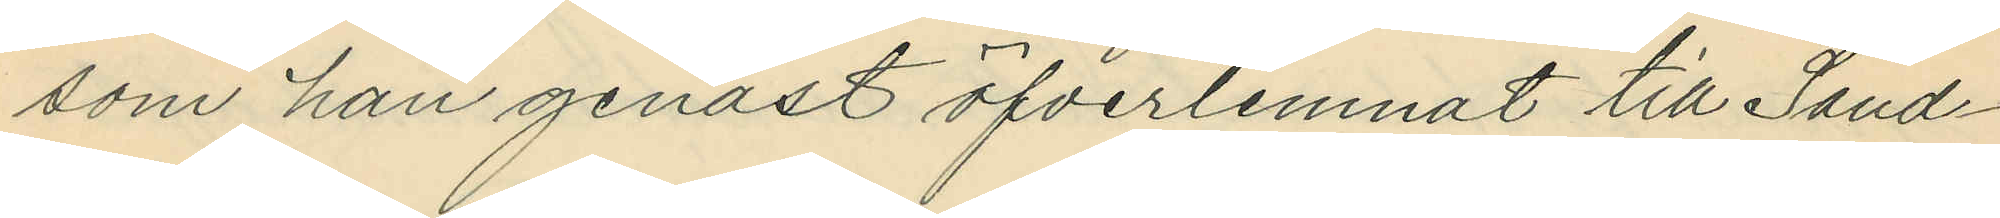som han genast öfverlemnat till Sand¬
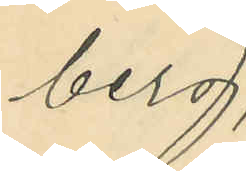berg;
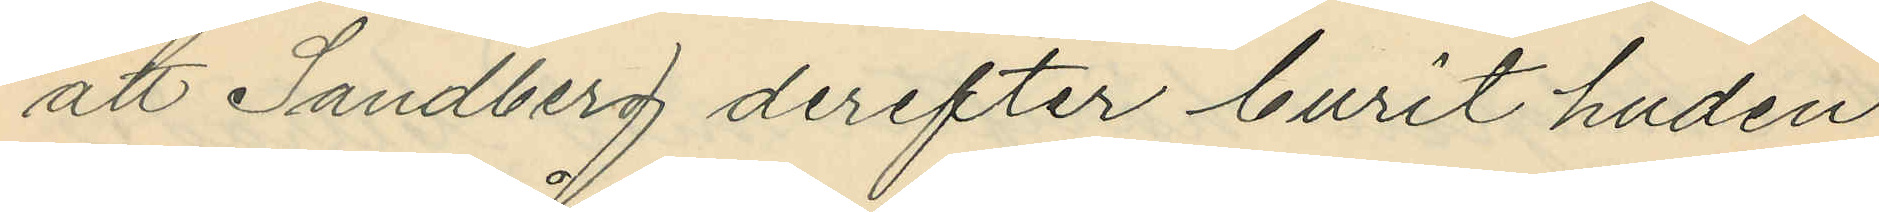att Sandberg derefter burit huden
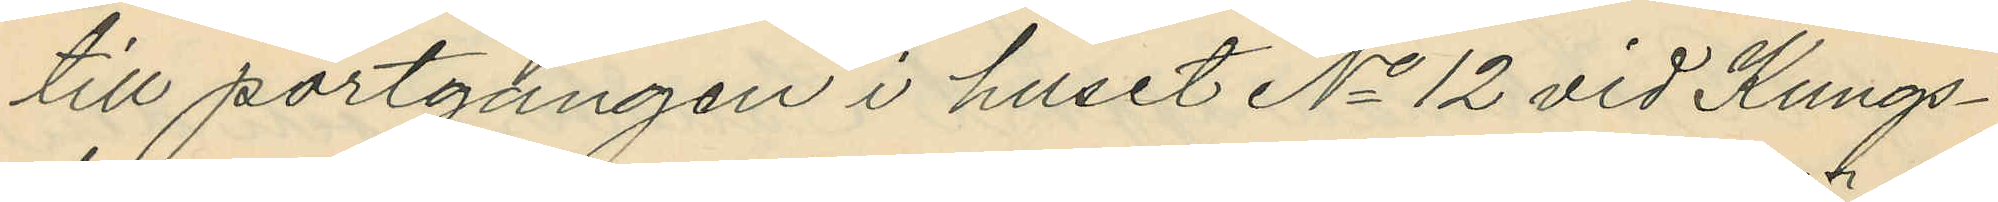till portgången i huset No 12 vid Kungs¬
